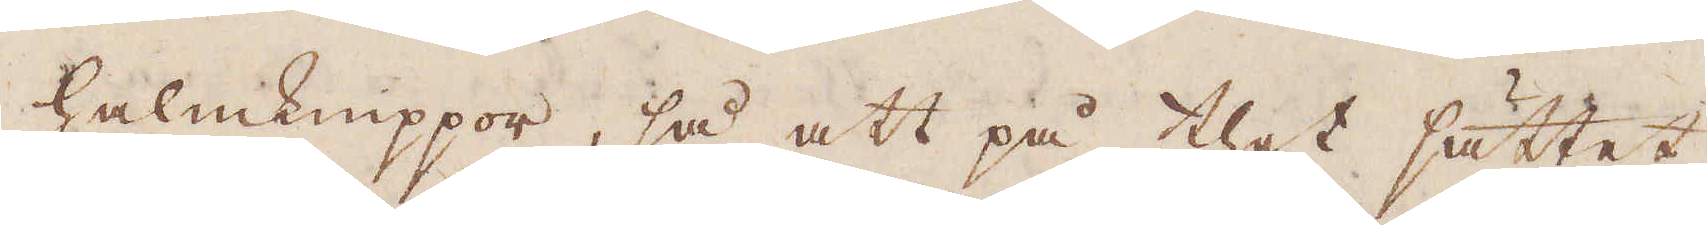halmknippor, så att på thet sättet
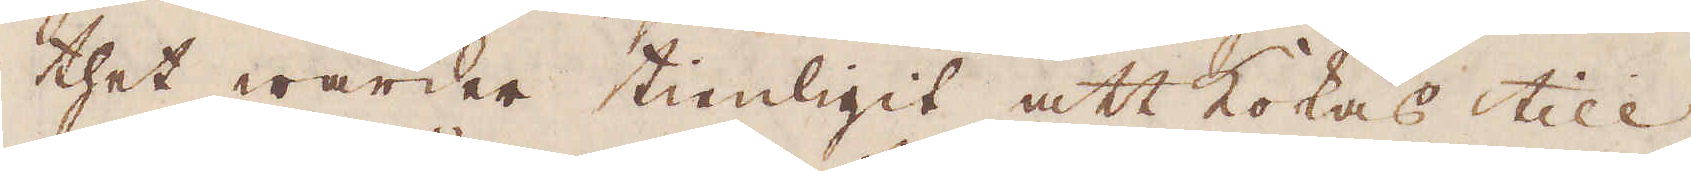thet warder tienligit att kokas till
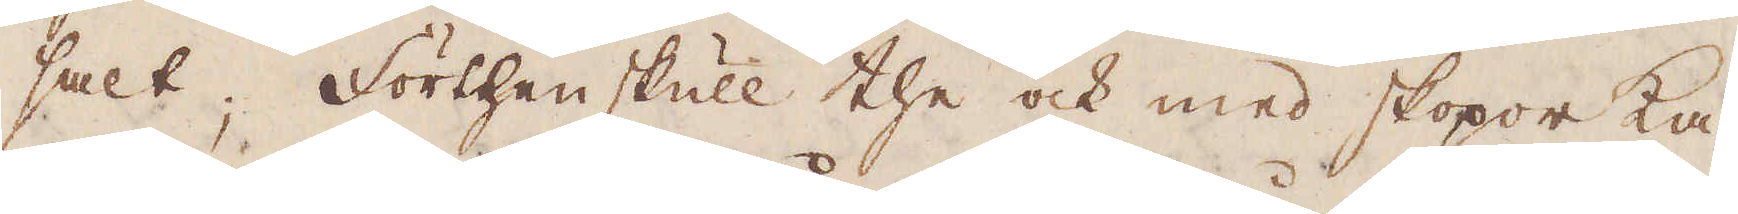salt; Förthenskull the ock med skopor ka-
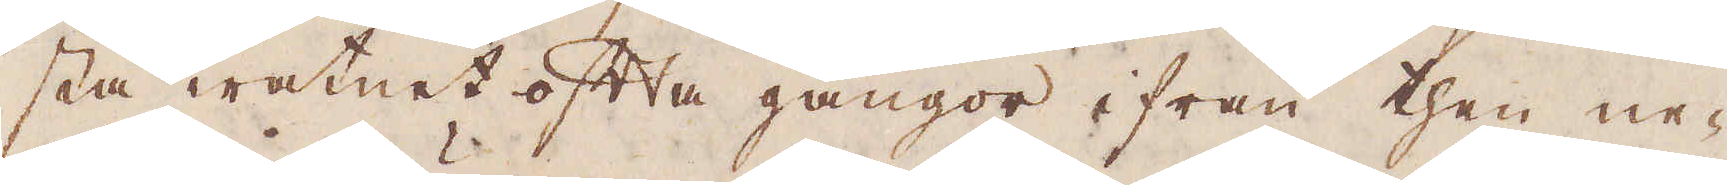sta watnet ofta gångor ifrån then ne-
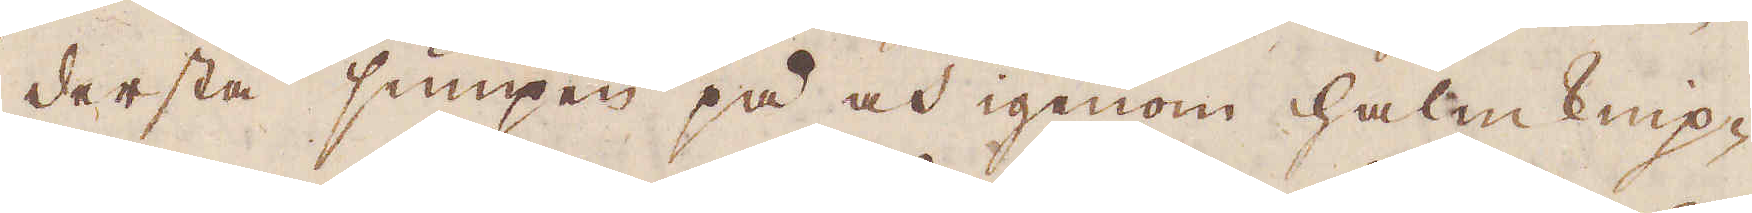dersta sumpen på och igenom halm knip-
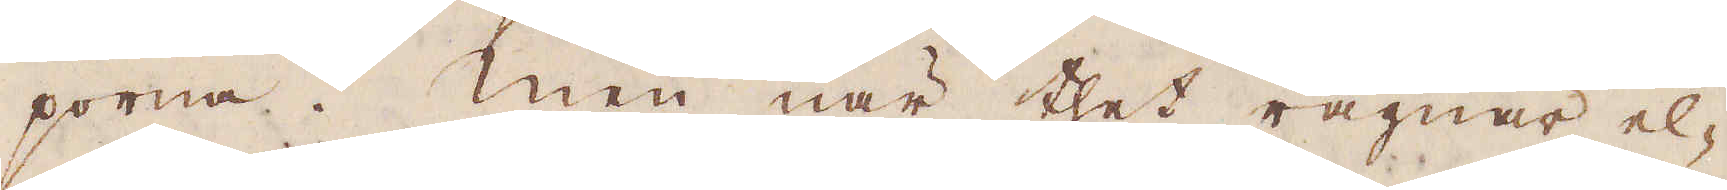porna. Men när thet rägnar el-
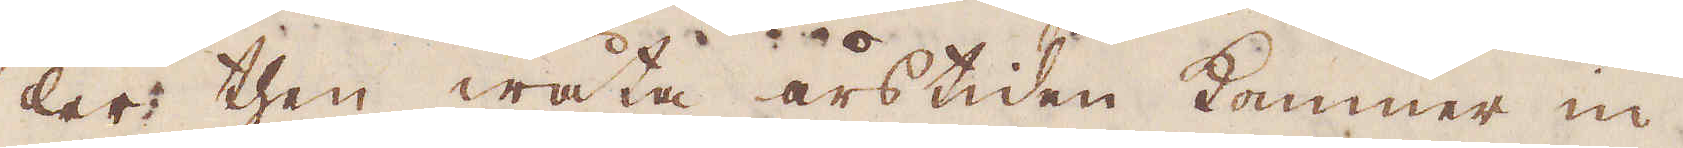ler then wåta årstiden kommer in,
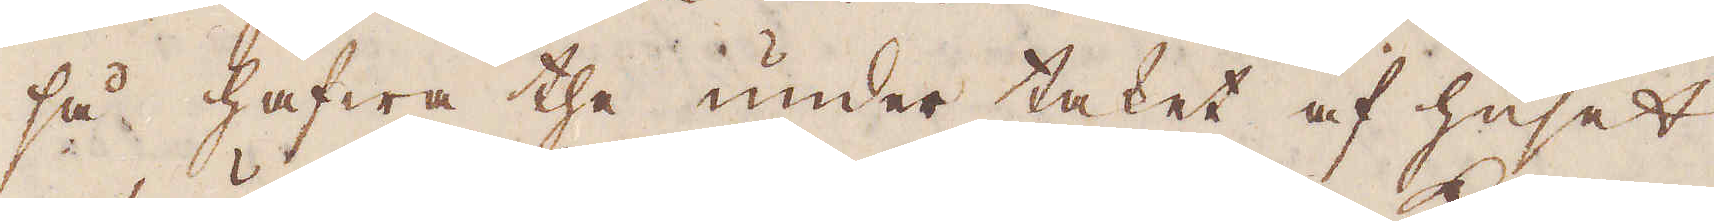så hafwa the under taket af huset
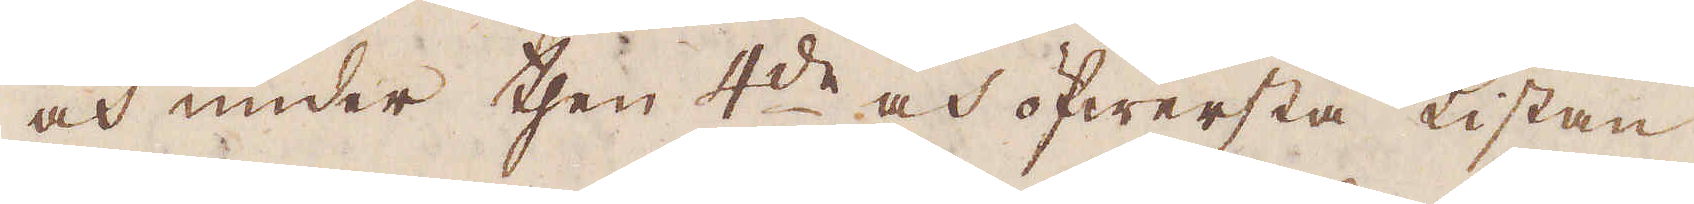och under then 4:de och öfwersta Kistan
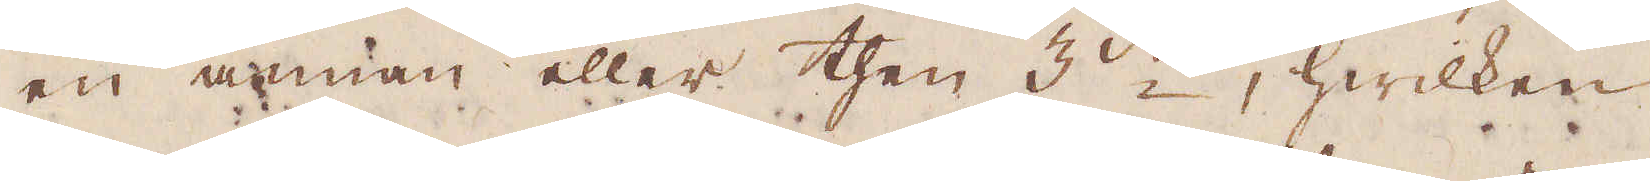en annan eller then 3:die, hwilken
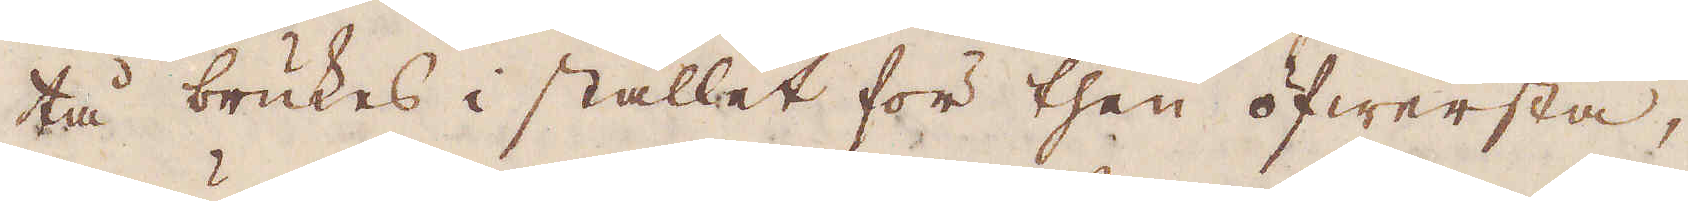tå brukes i stället för then öfwersta,
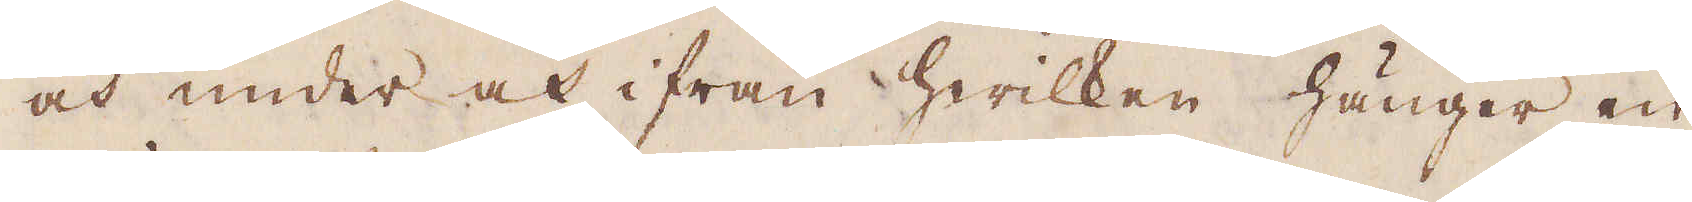och under och ifrån hwilken hänger en
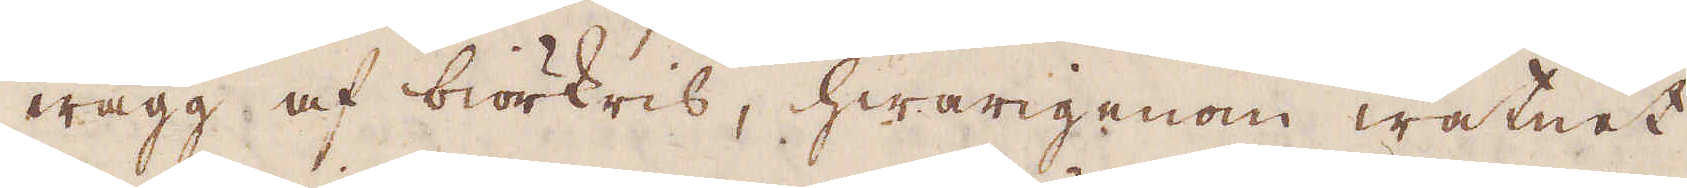wägg af biörkris, hwarigenom watnet
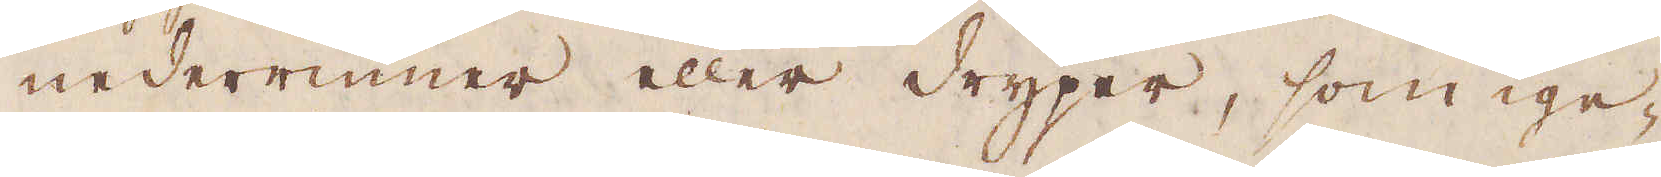nederrinner eller dryper, som ige-
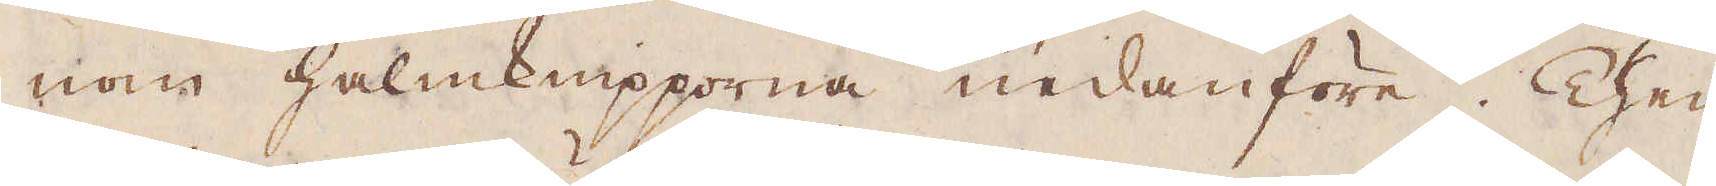nom halmknipporna nedanföre. Then
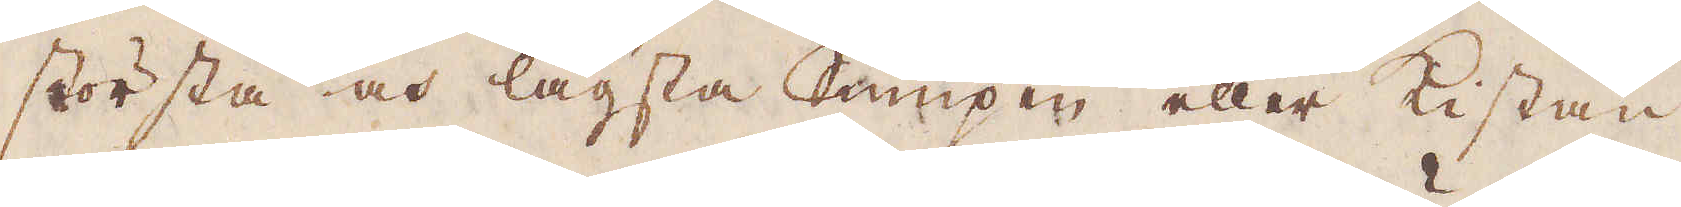största och lägsta Sumpen eller Kistan
